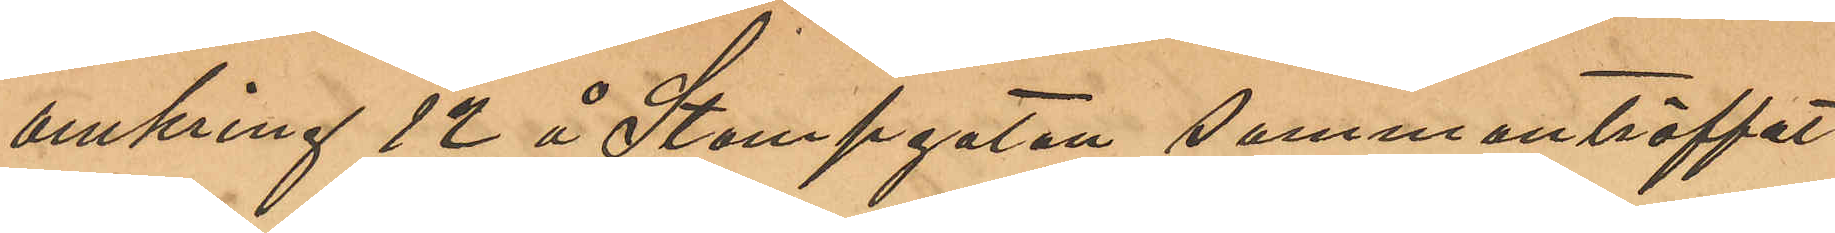omkring 12 å Stampgatan sammanträffat
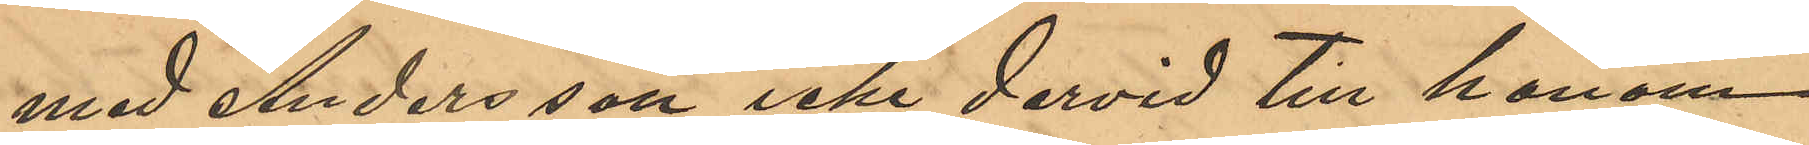med Andersson som icke dervid till honom
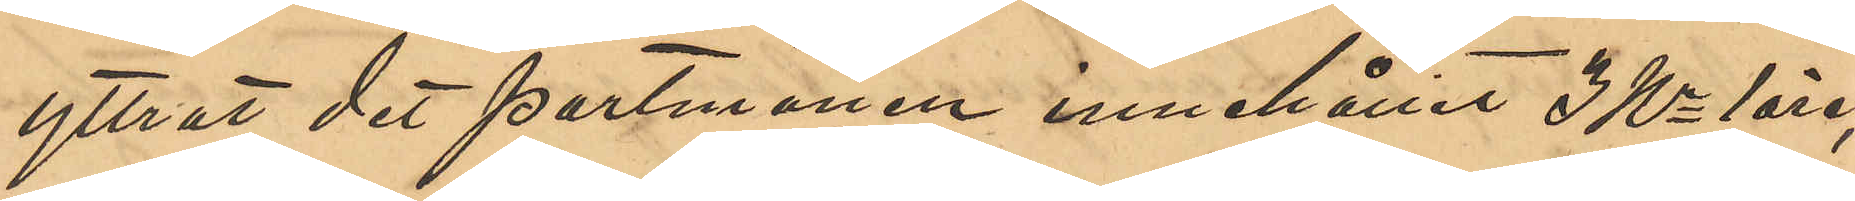yttrat det portmonen innehållit 3 Kr 1 öre;
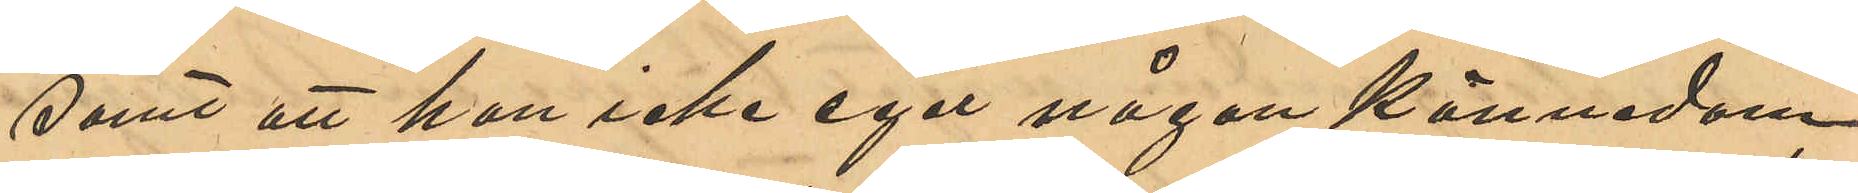samt att han icke eger någon kännedom
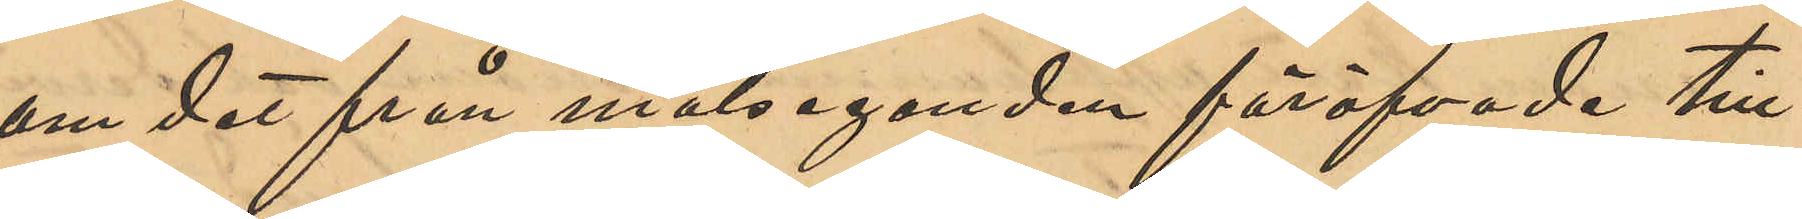om det från målseganden föröfvade till¬
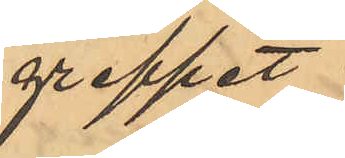greppet.
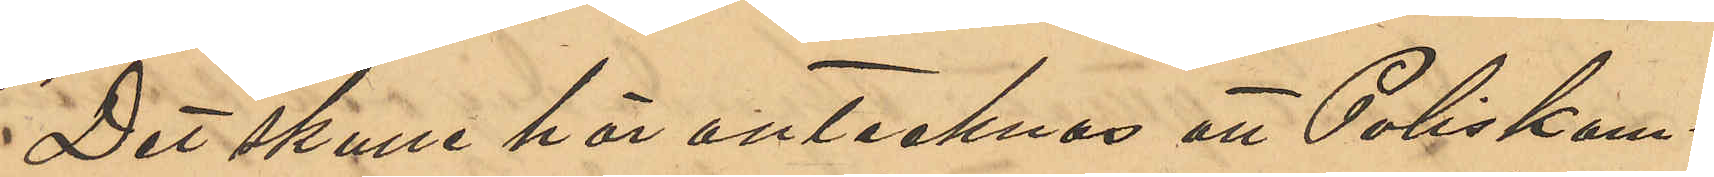Det skulle här antecknas att Poliskam¬
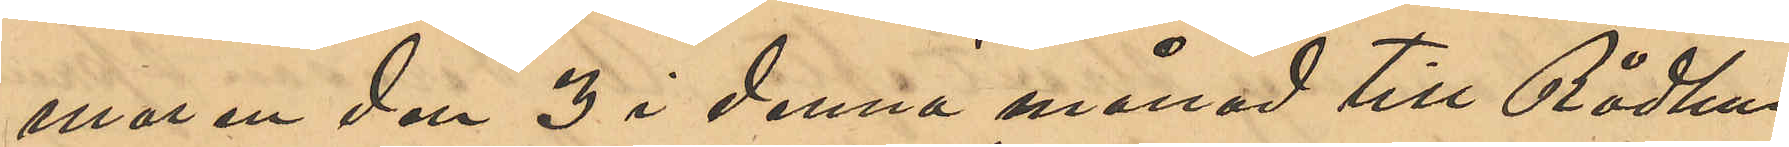maren den 3 i denna månad till Rådhus
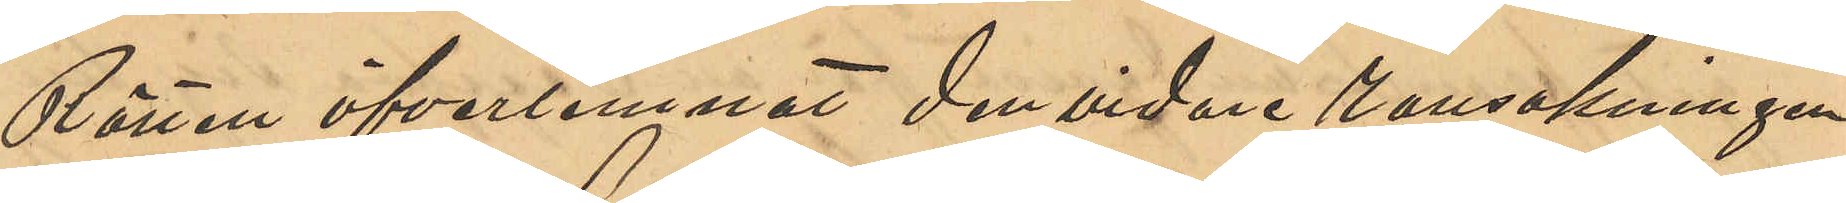Rätten öfverlemnat den vidare ransakningen
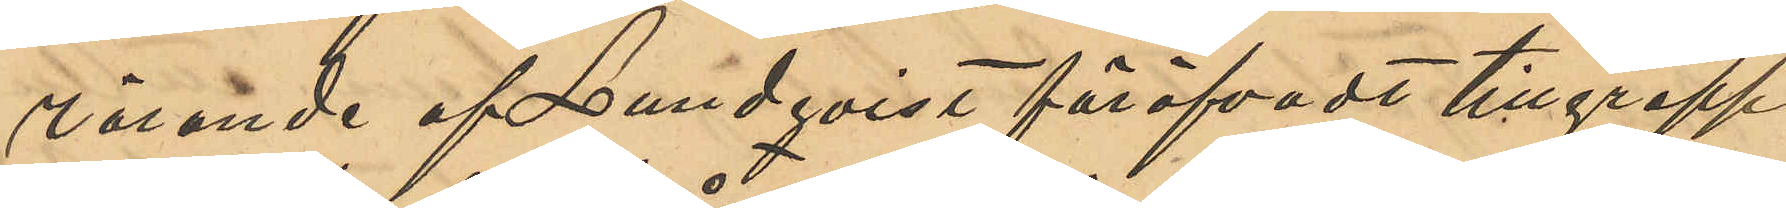rörande af Lundqvist föröfvadt tillgrepp
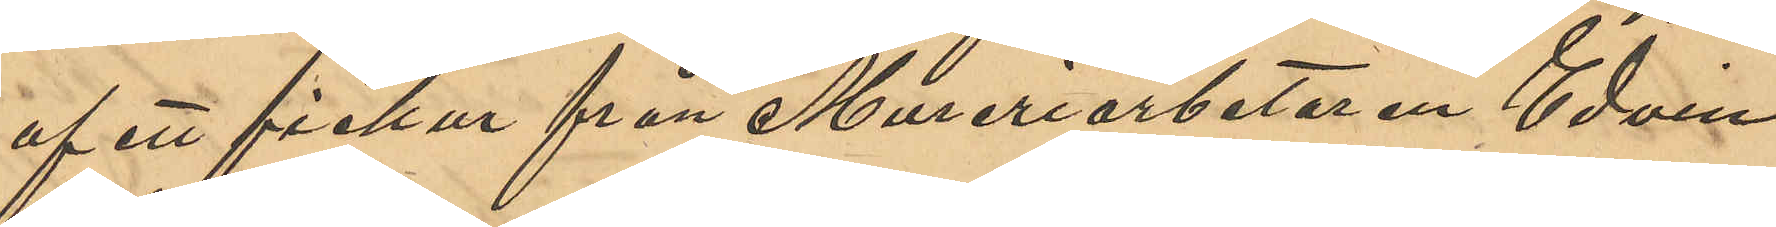af ett fickur från Mureriarbetaren Edvin
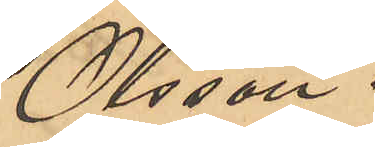Olsson.
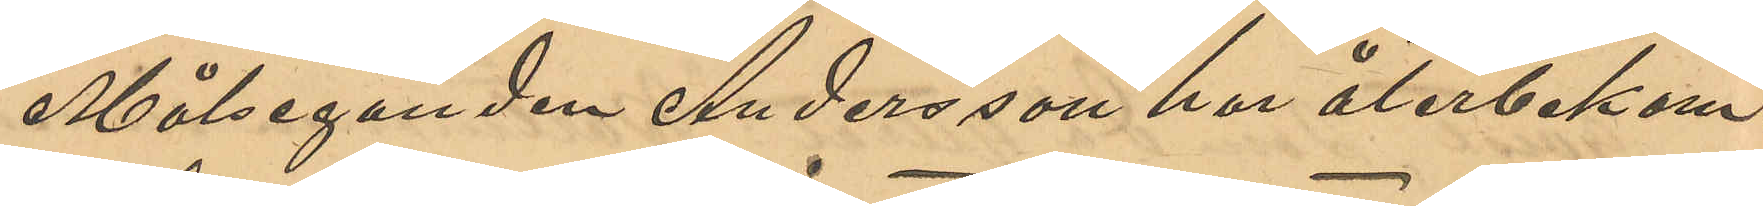Målseganden Andersson har återbekom¬
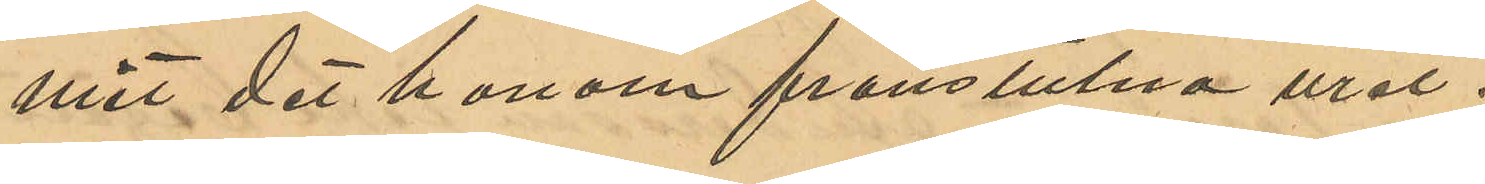mit, det honom frånstulna uret.
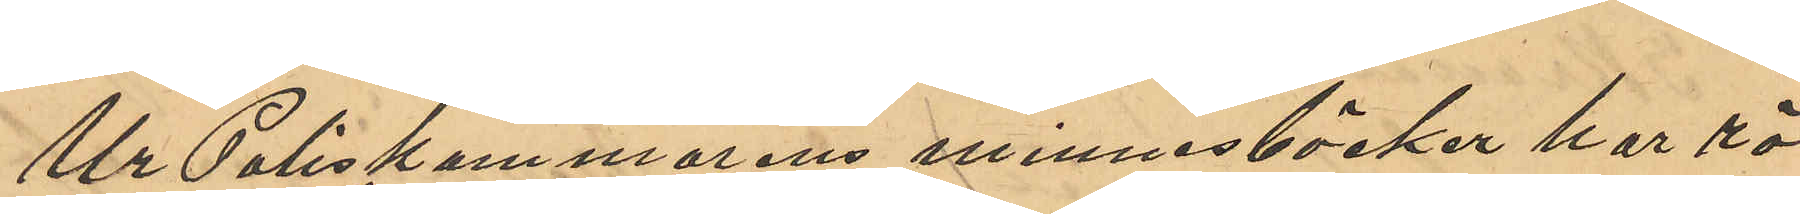Ur Poliskammarens minnesböcker har rö¬
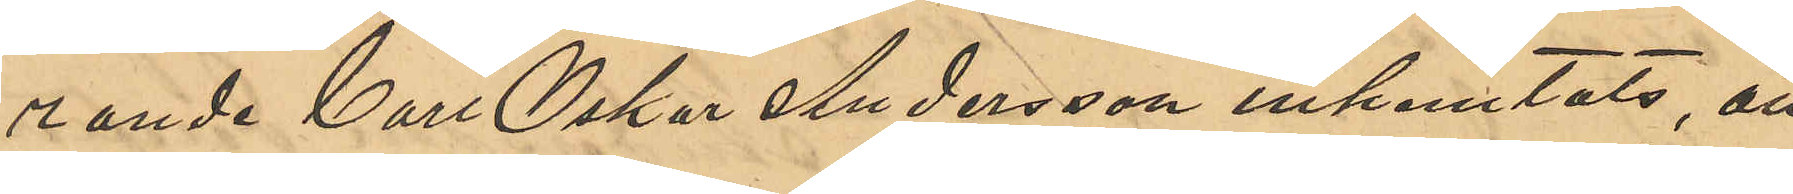rande Carl Oskar Andersson inhemtats, att
